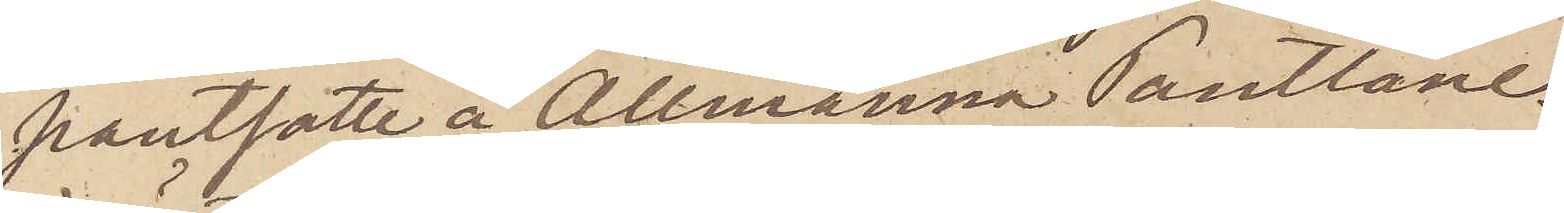pantsatte å Allmänna Pantlåne¬
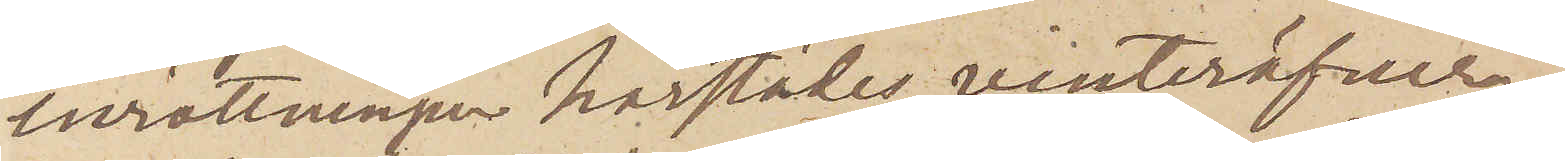inrättningen härstädes, vinteröfver¬
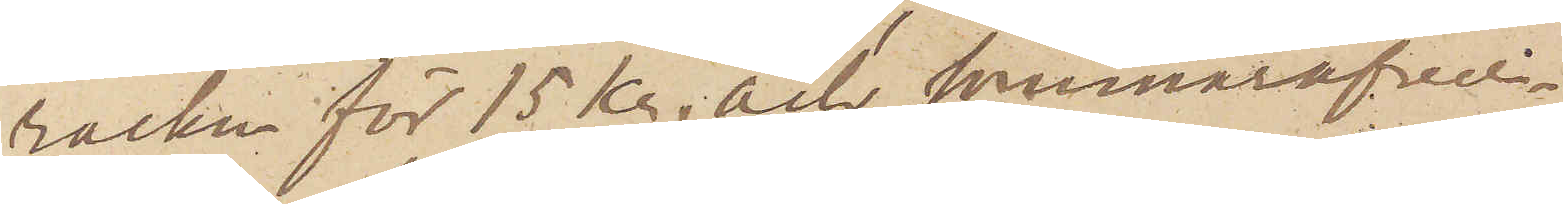rocken för 15 kr. och sommaröfver¬
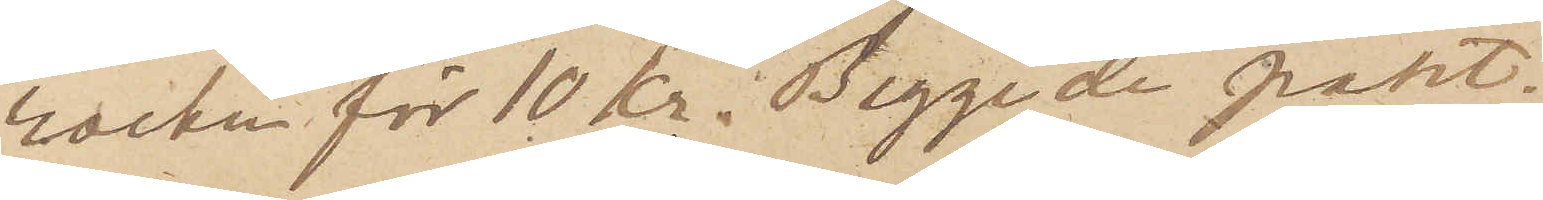rocken för 10 kr. Begge de pant¬
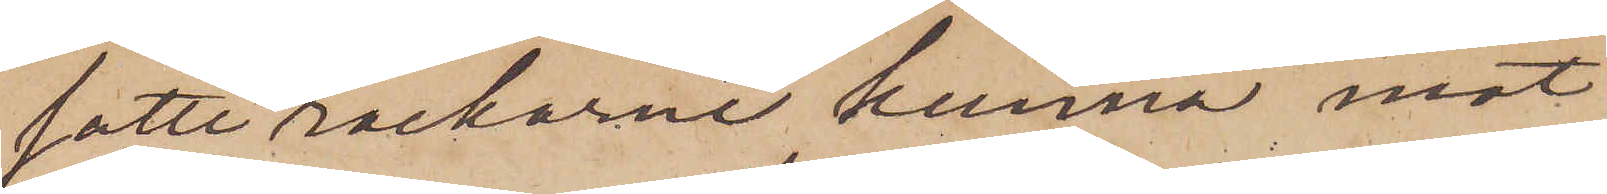satte rockarne kunna mot
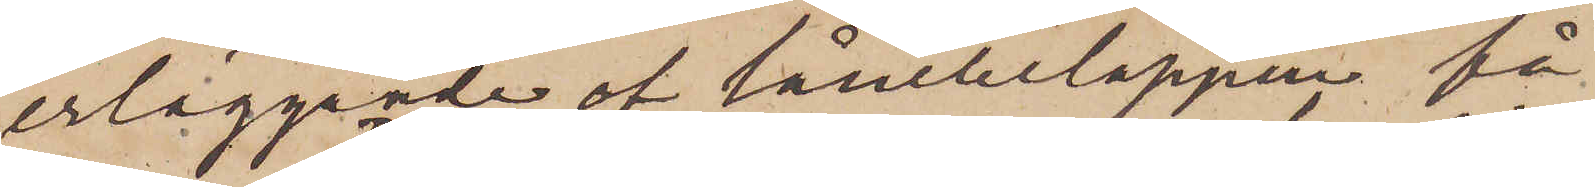erläggande af lånebeloppen få
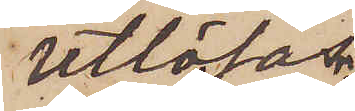utlösas.
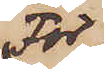För
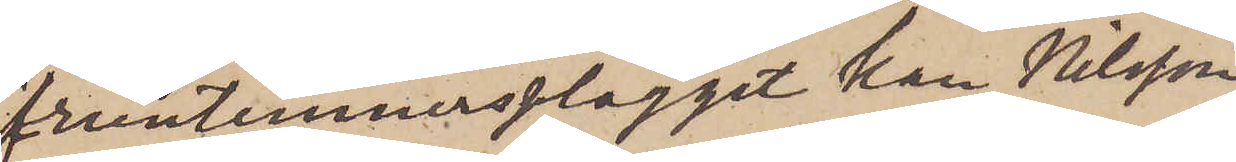fruntimmersplagget kan Nilsson
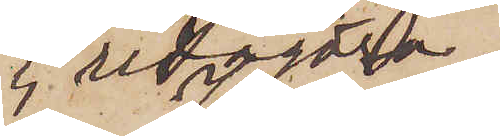ej redogöra.
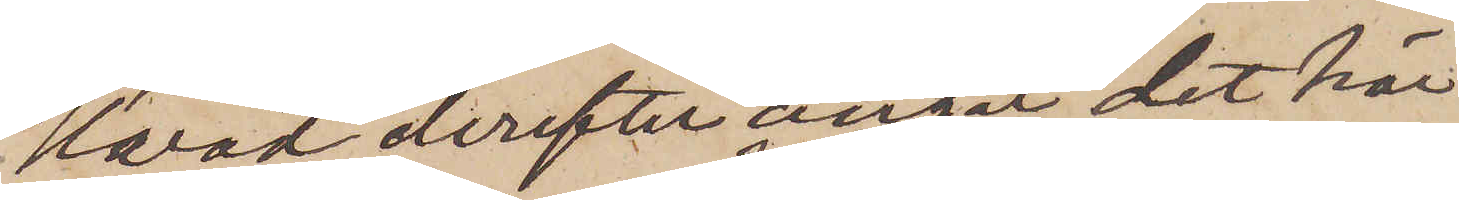Hvad derefter angår det här
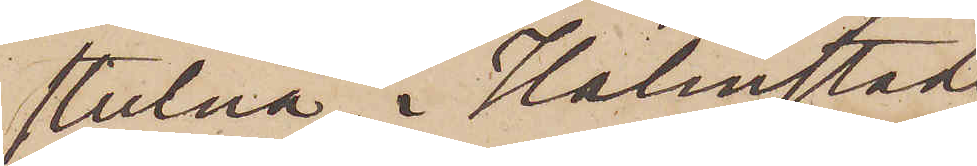stulna, i Halmstad
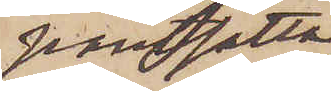pantsatta
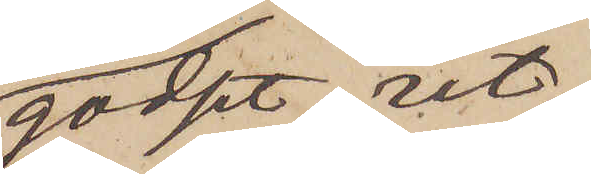godset, ut¬
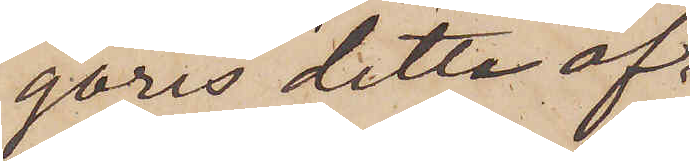göres detta af
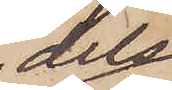dels
